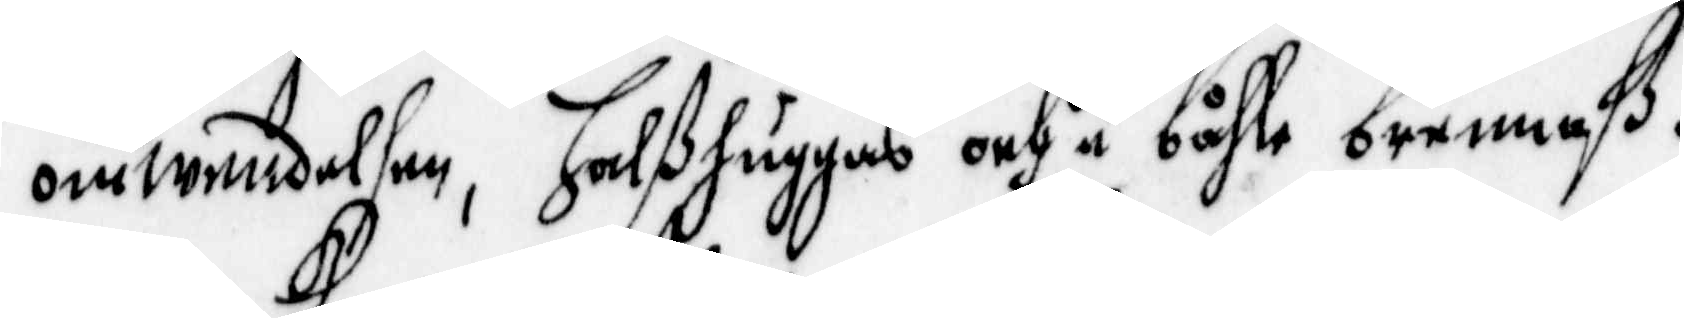omwendelsen, halshuggas och å båle brennaß.
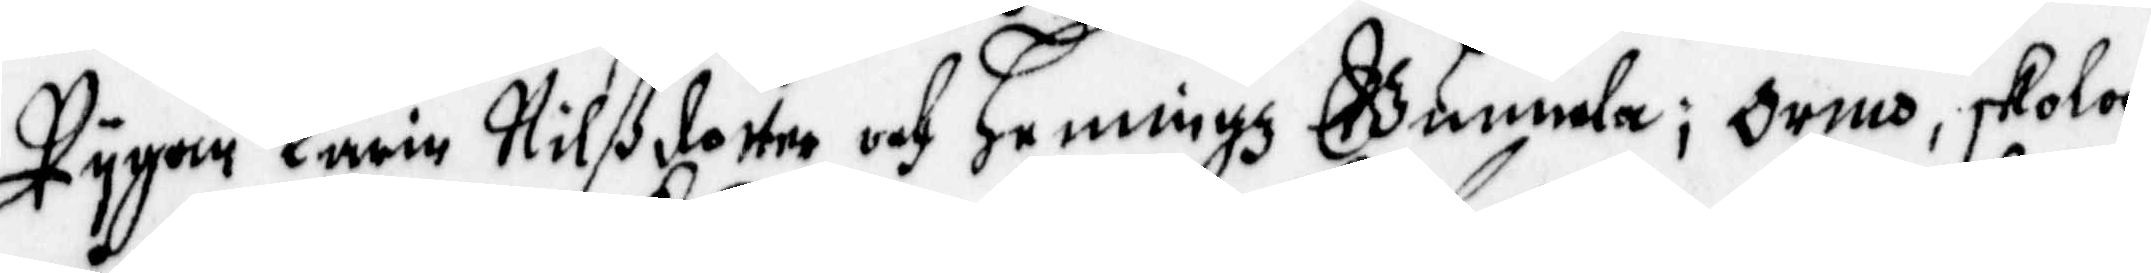pygan Karin Nilßdotter och Henningz Gunnela, Ormo, skola
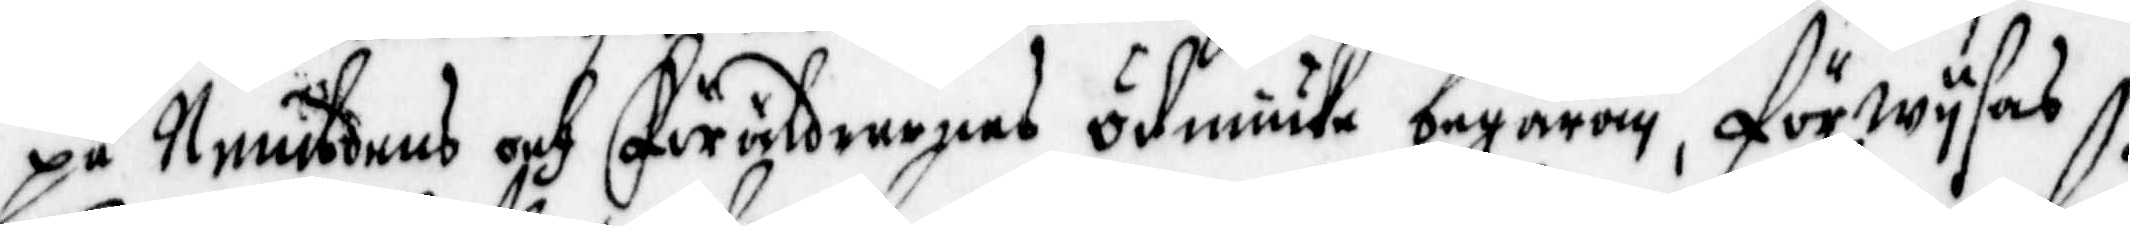på Nembdens och Föräldrarnas ödmiuka begäran, förwysas
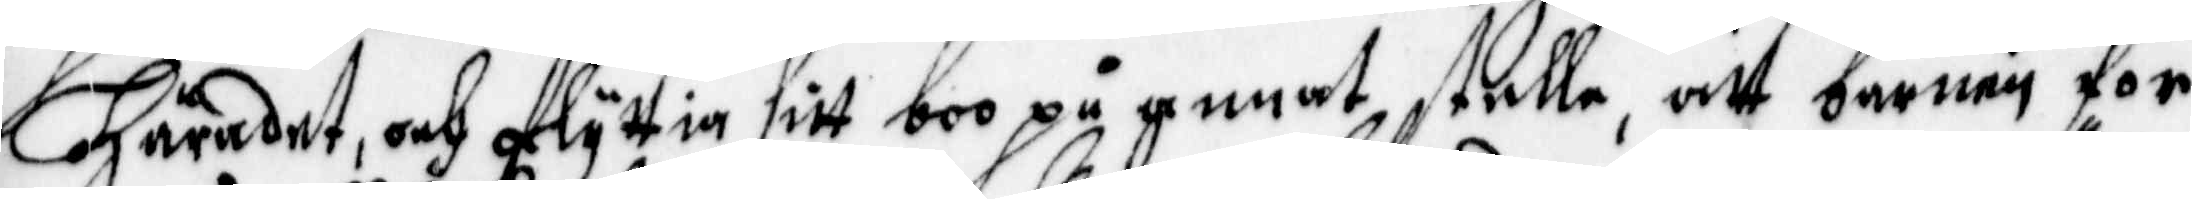Häradet, och flyttia sitt boo på annat stelle, att barnen för
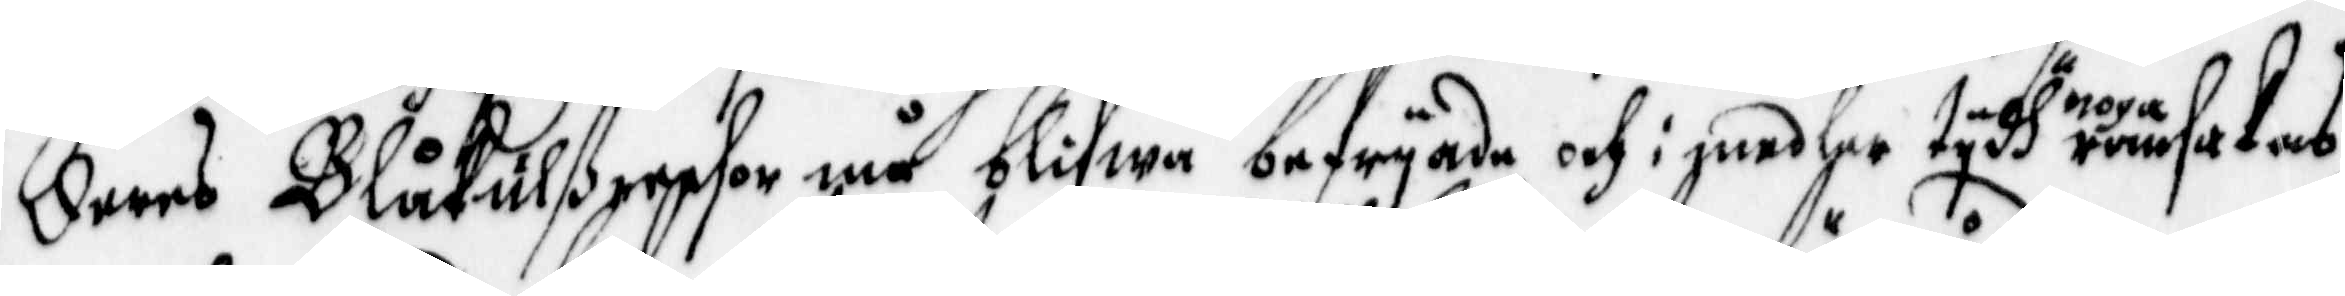deras Blåkulßresor må blifwa befryade, och i medler tydh noga ransakas
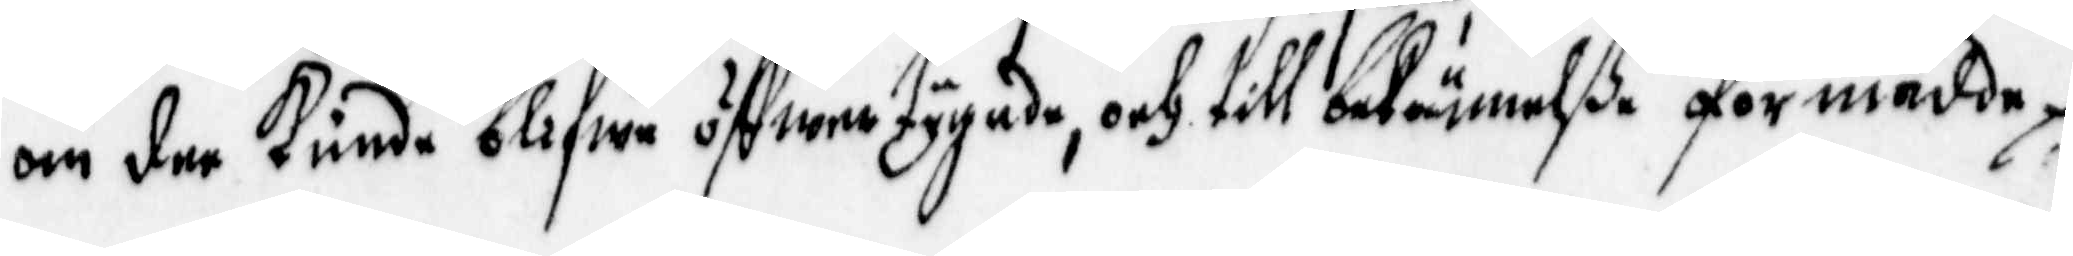om dee kunde blifwa öffwertygade, och till bekännelße förmådde.
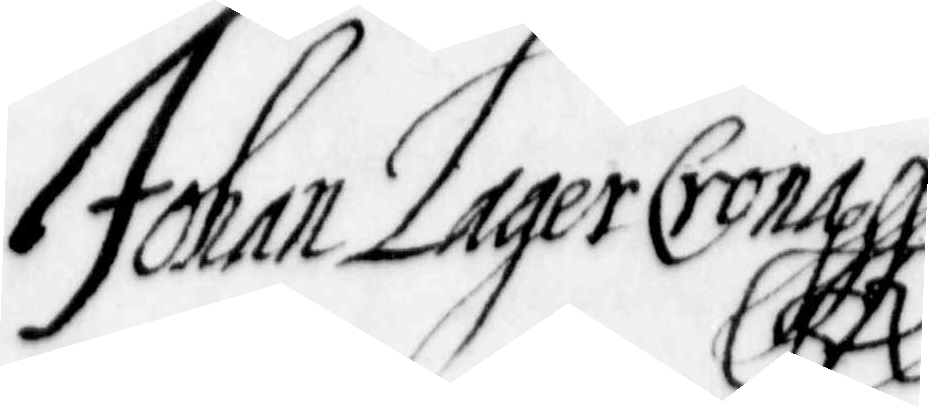Johan Lagercrona
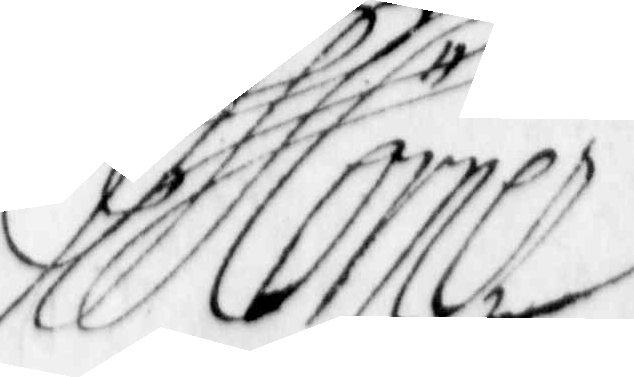Mörner
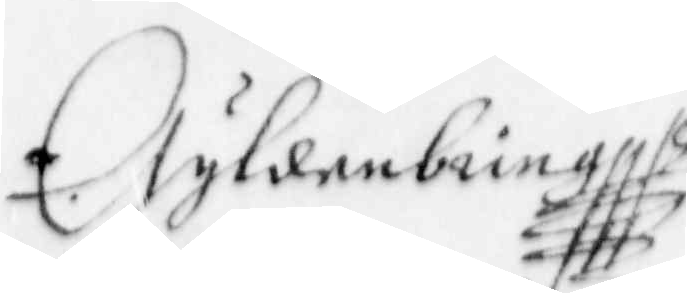Gyldenbring
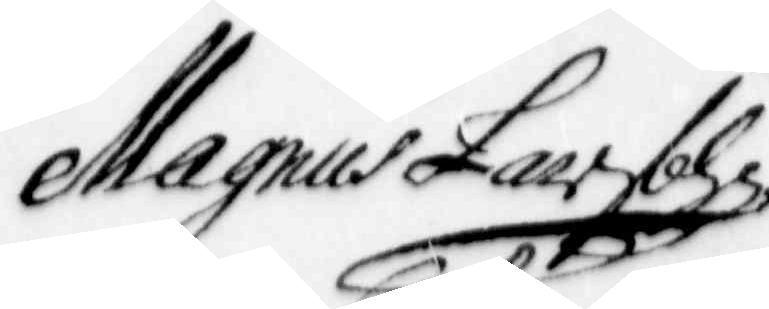Magnus Larson
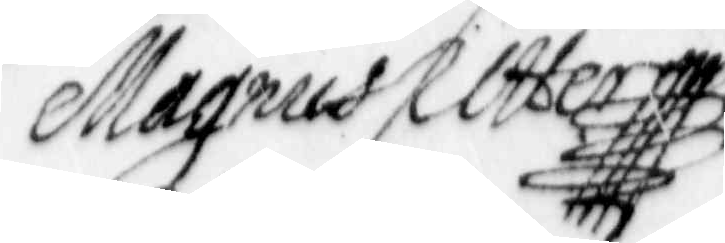Magnus Utter
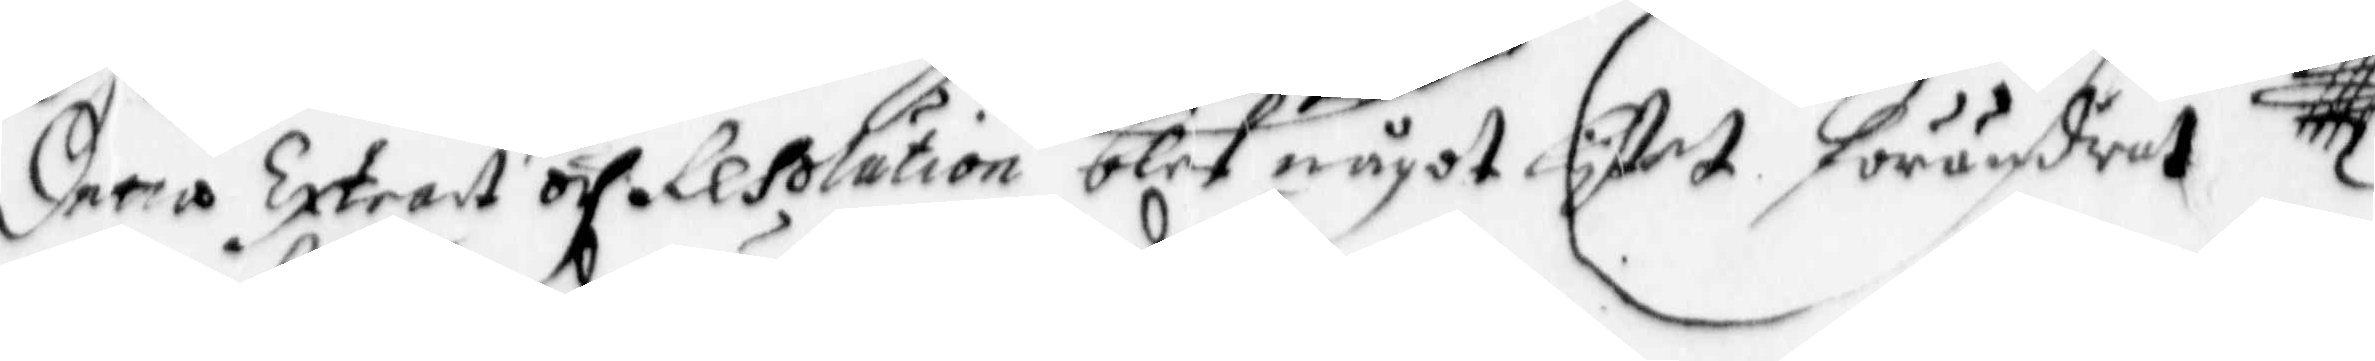Deras Extract och resolution blef något lytet förändrat
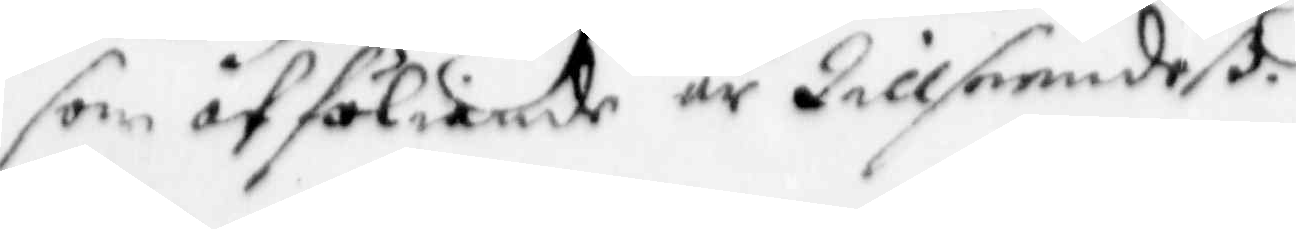som åtföliande är Tillseendeß.
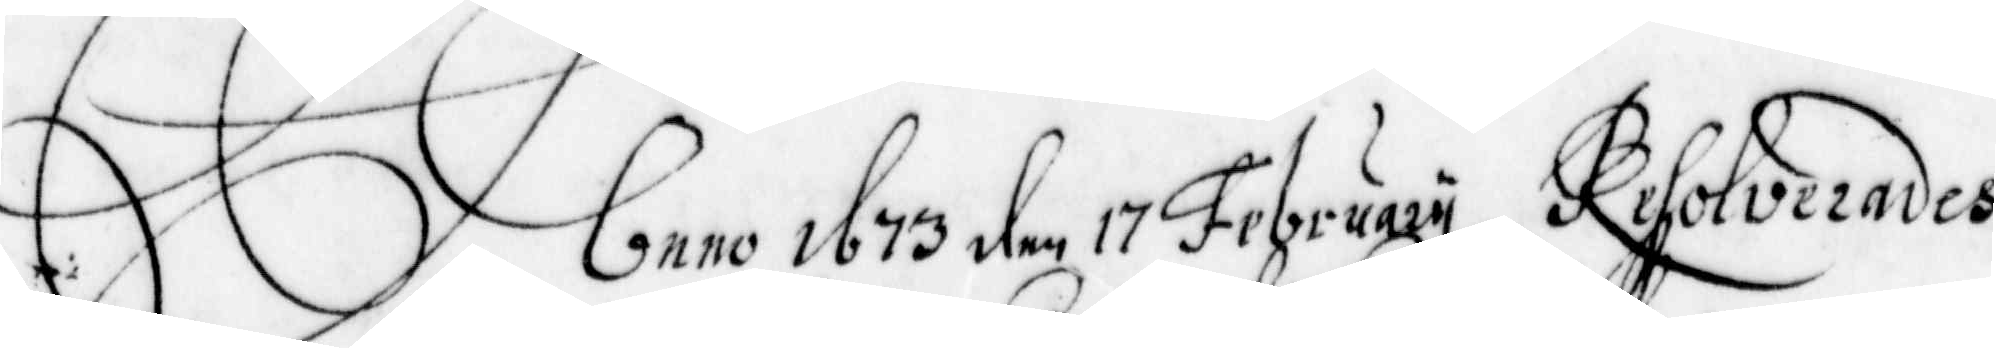Anno 1673 den 17 February Resolverades
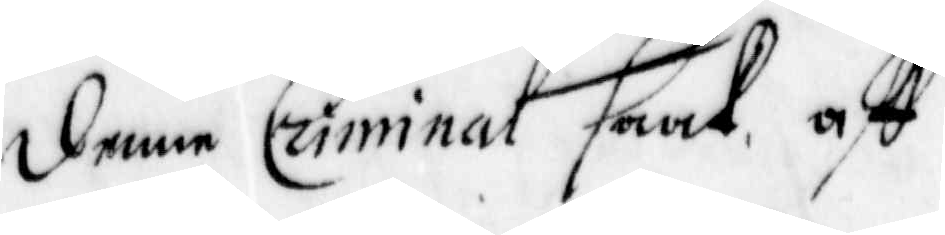denne Criminal saak, aff
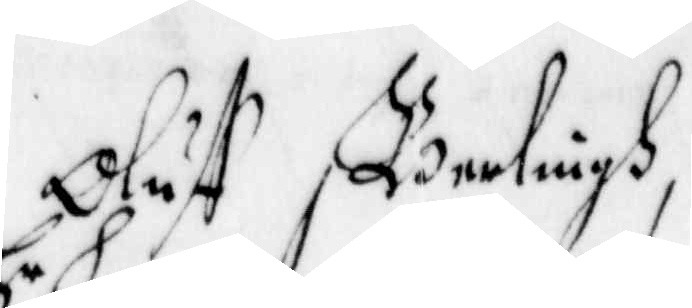Oluff Berlingh,
